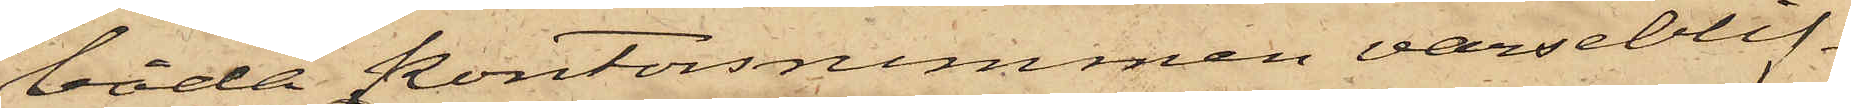båda kontorsrummen varseblif¬
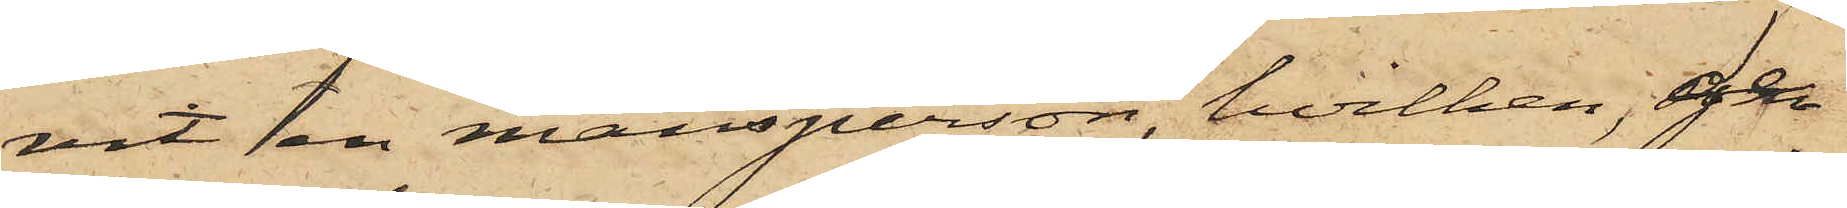vit en mansperson, hvilken, ge¬
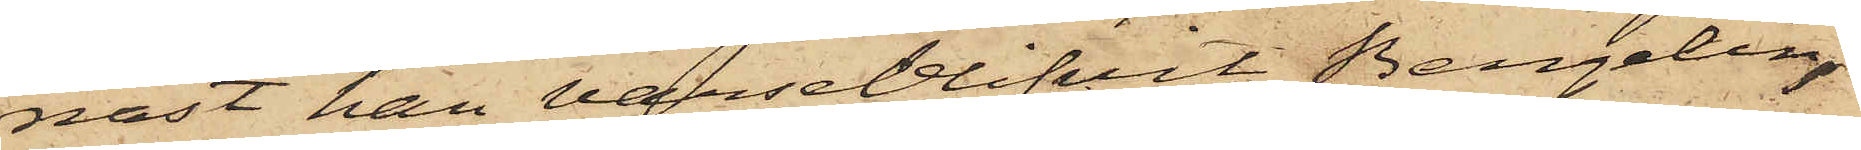nast han varseblifvit Bergelin,
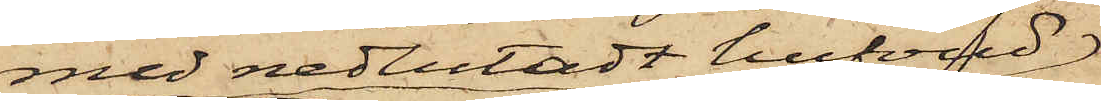med nedlutadt hufvud
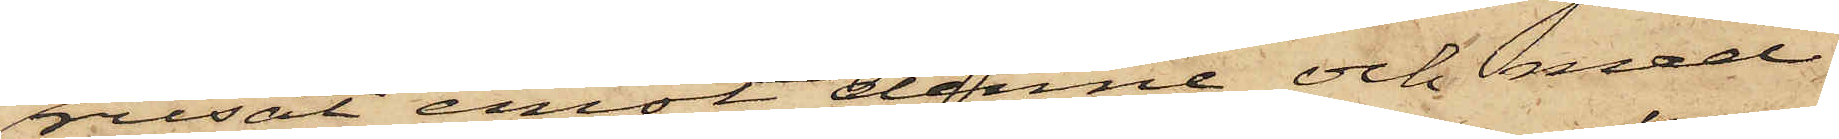rusat emot denne och med
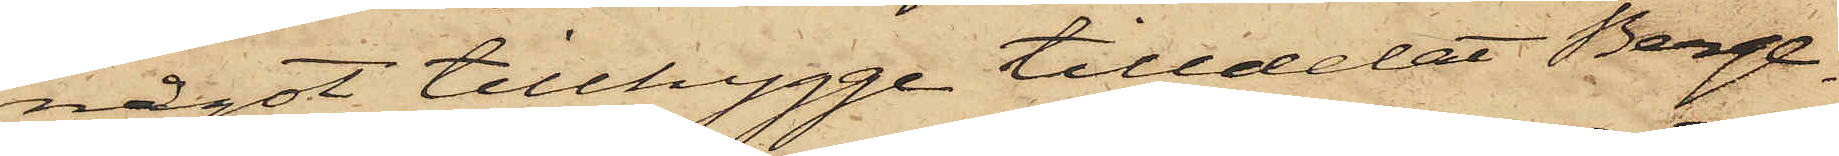något tillhygge tilldelat Berge¬
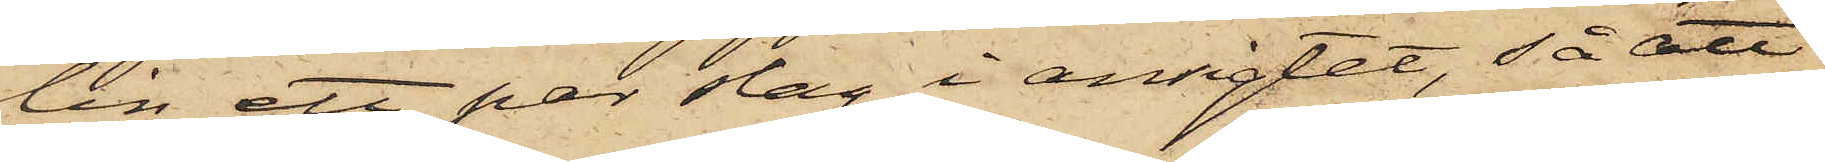lin ett par slag i ansigtet, så att
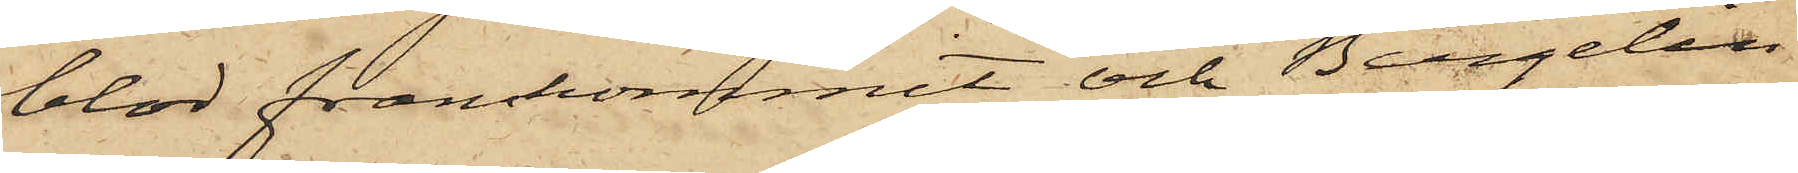blod framkommit och Bergelin
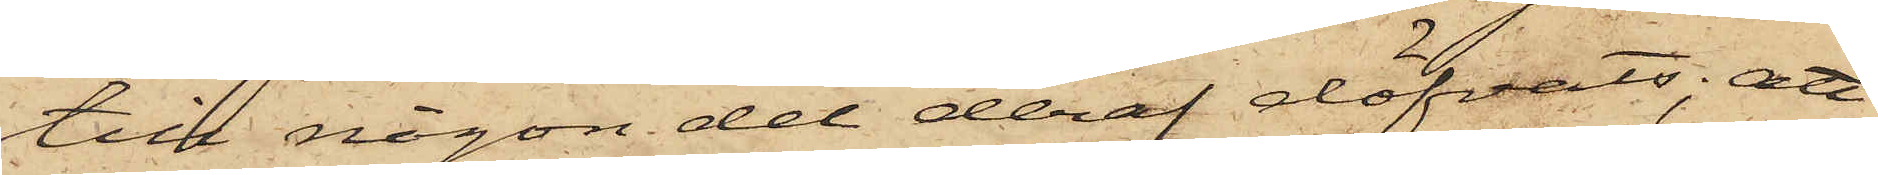till någon del deraf döfvats; att
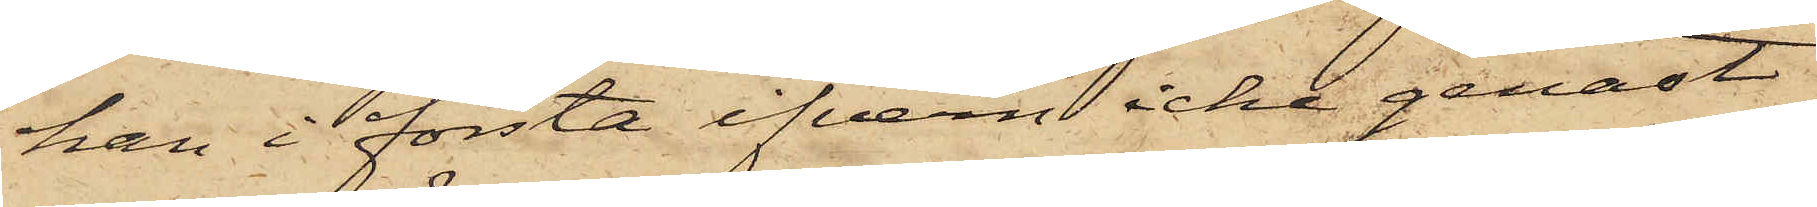han i första ifvern icke genast
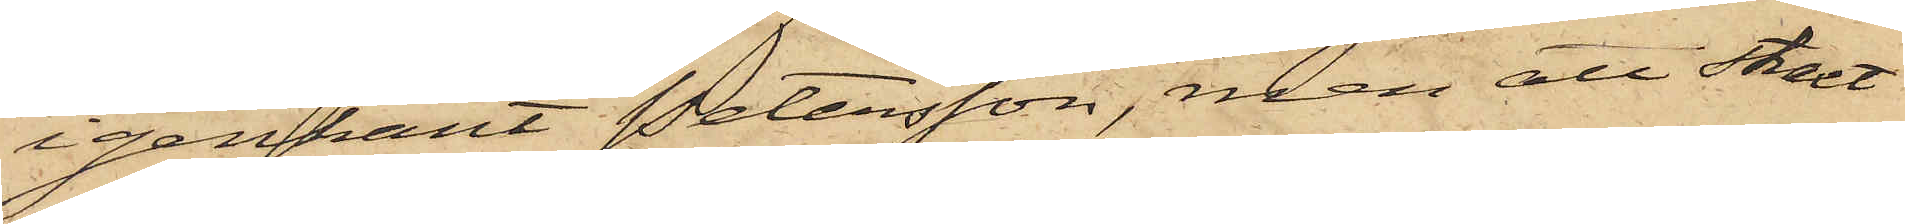igenkänt Petersson, men att straxt
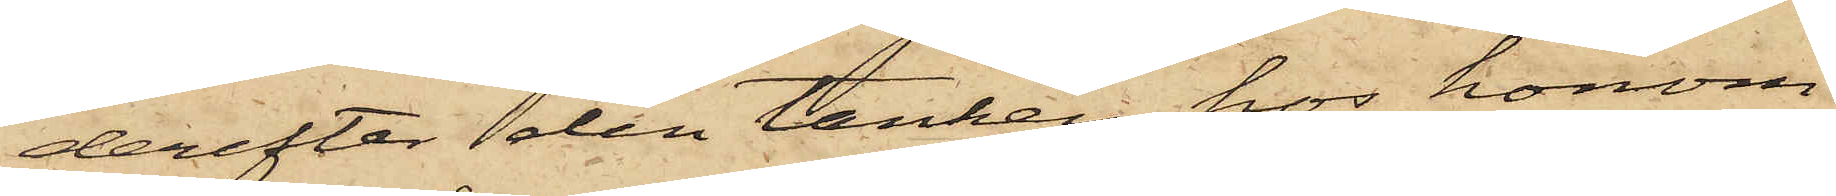derefter den tanken hos honom
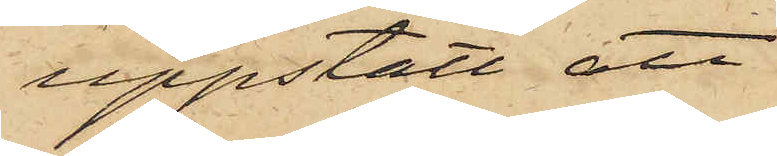uppstått att
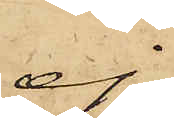ej
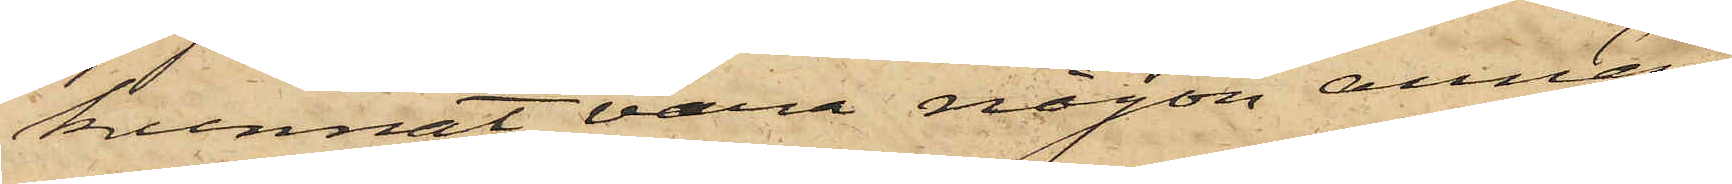kunnat vara någon annan
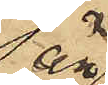än
